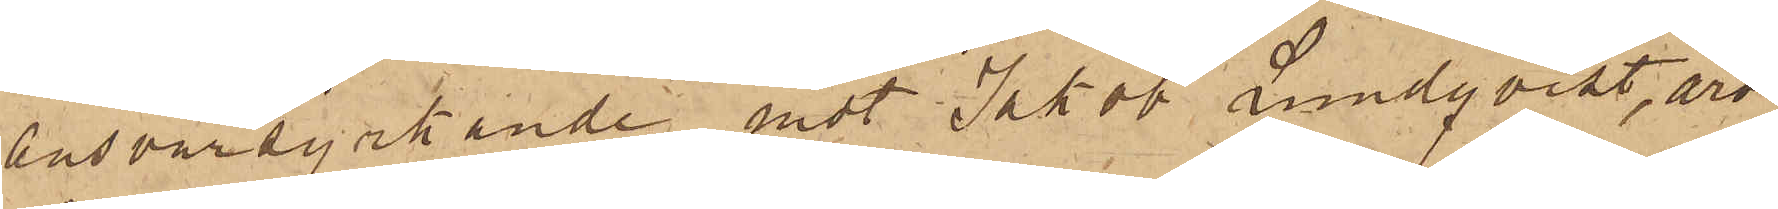ansvarsyrkande mot Jakob Lundqvist, äro
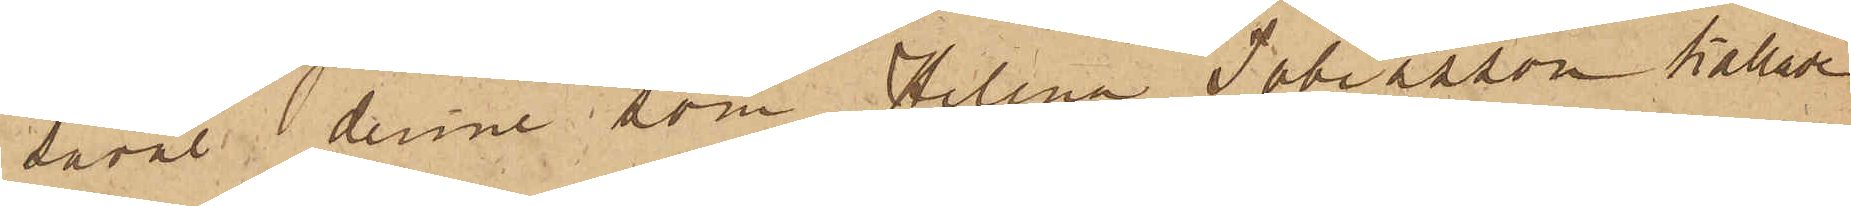såväl denne, som Helena Tobiasson kallade
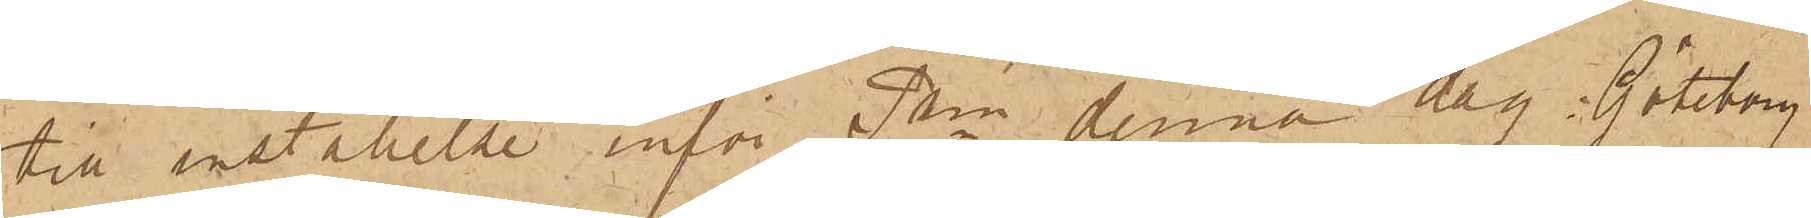till inställelse inför Pkn denna dag. Göteborg
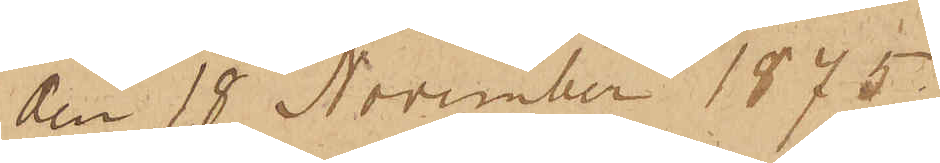den 18 November 1875.
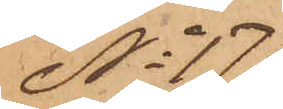No 171
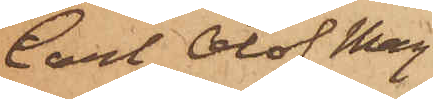Carl Olof Mag¬
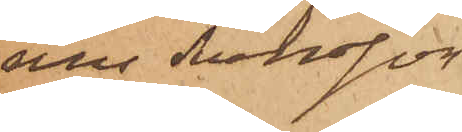nus Svensson
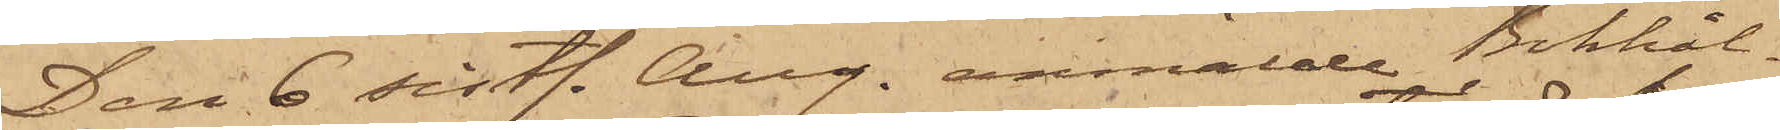Den 6 sistl. Aug. anmälde Bokhål¬
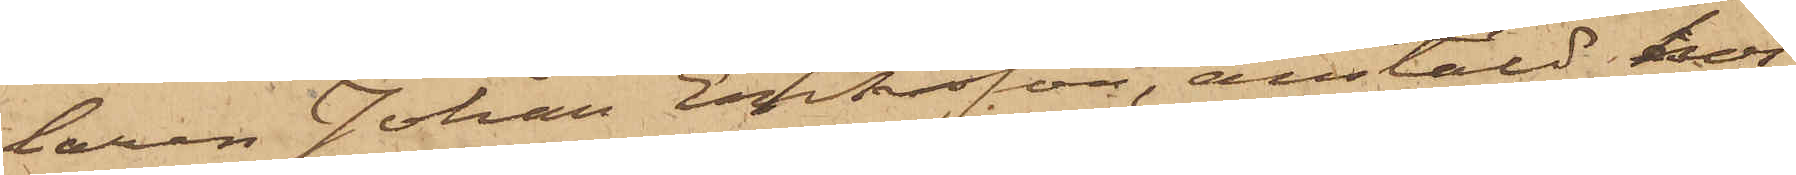laren Johan Eriksson, anstäld hos
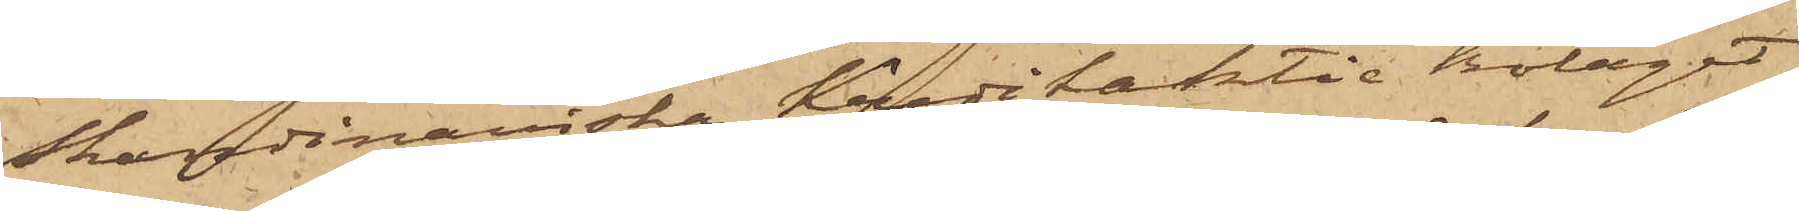Skandinaviska Kreditaktie Bolaget
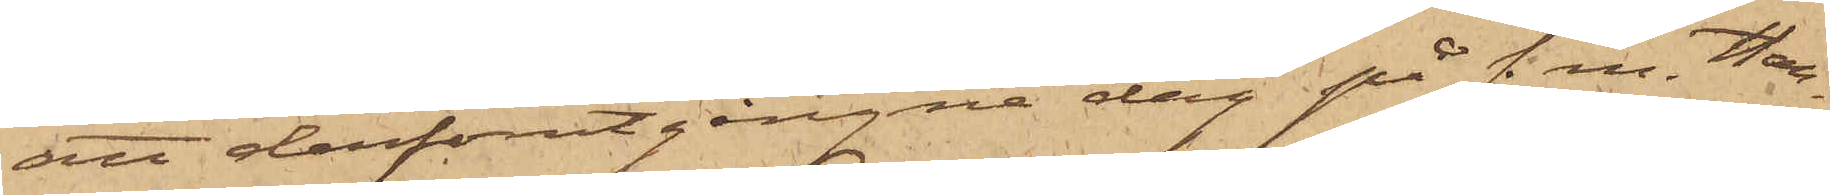att derförutgångne dag på f. m. Han¬
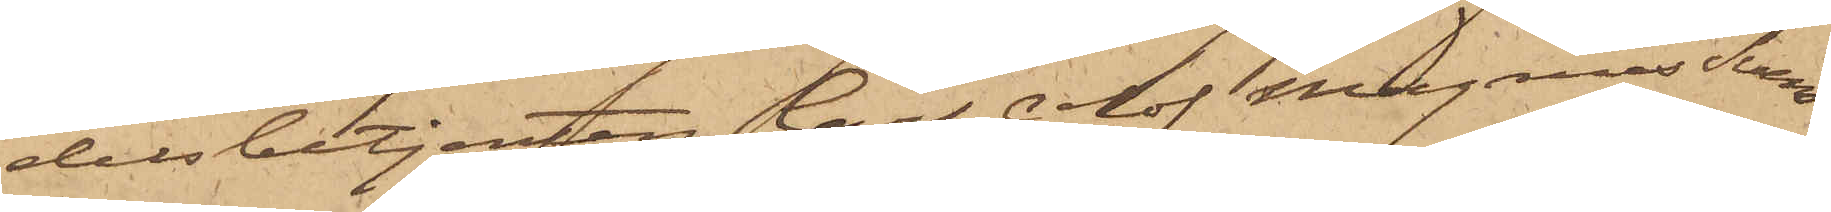delsbetjenten Carl Olof Magnus Sven¬
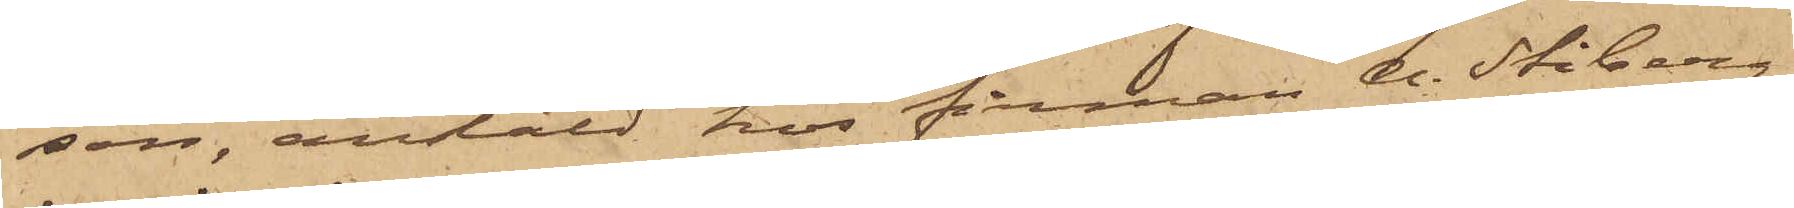son, anstäld hos firman A. Stiberg
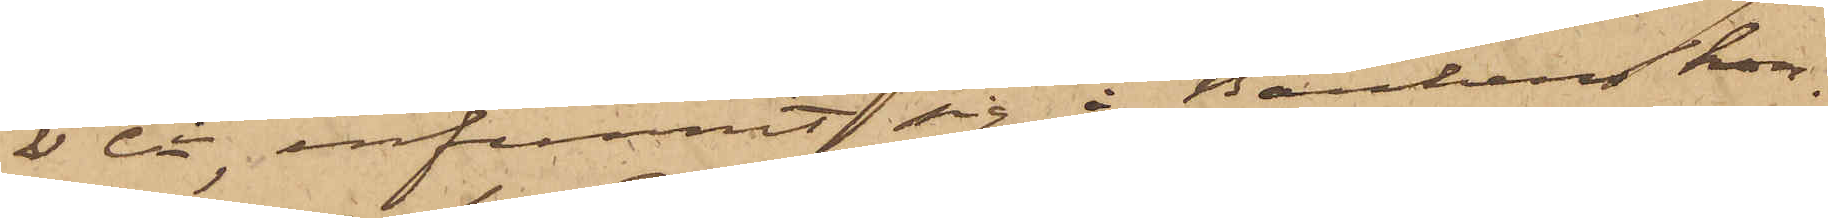& Ci infunnit sig i Bankens kon¬
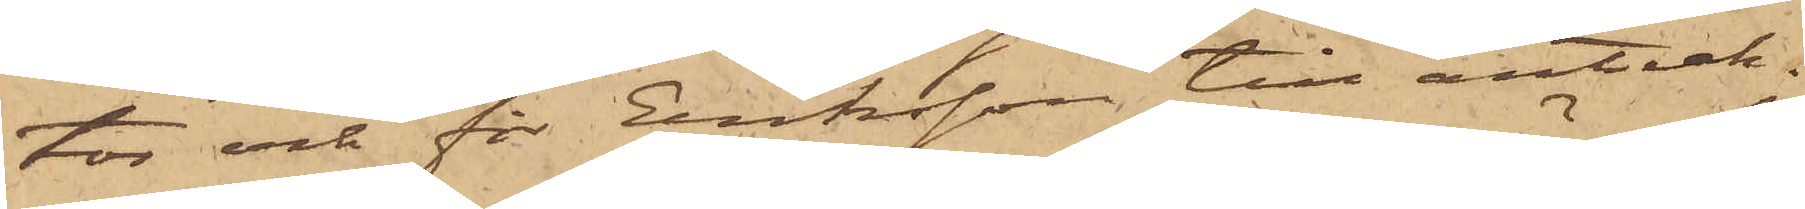tor och för Eriksson till anteck¬
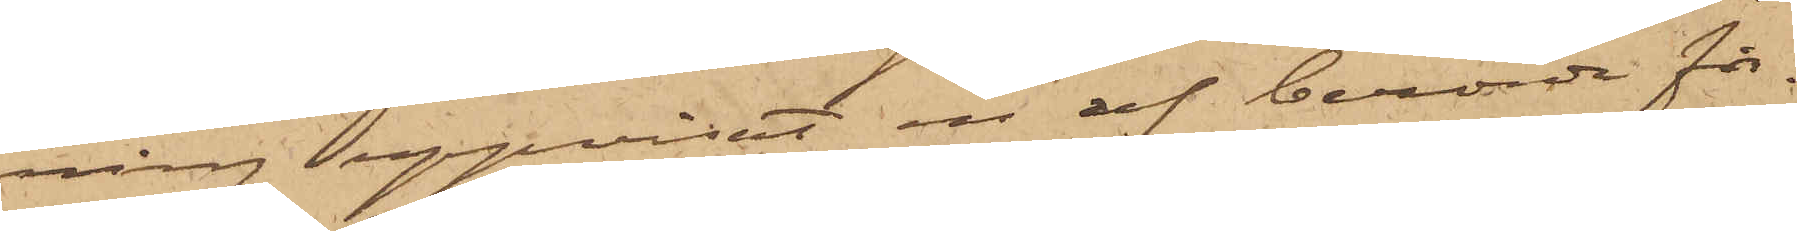ning uppvisat en af berörde fir¬
